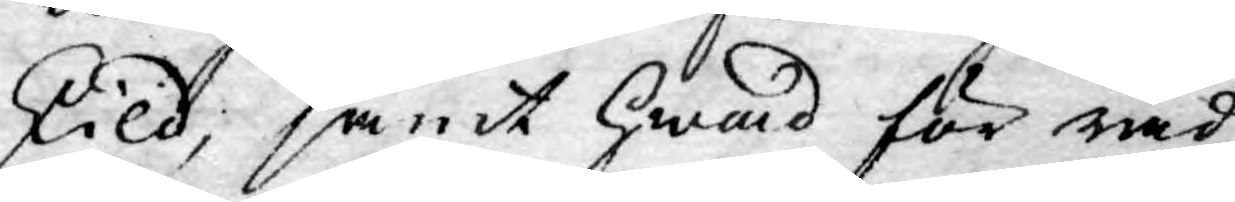skild, samt hwad för råd
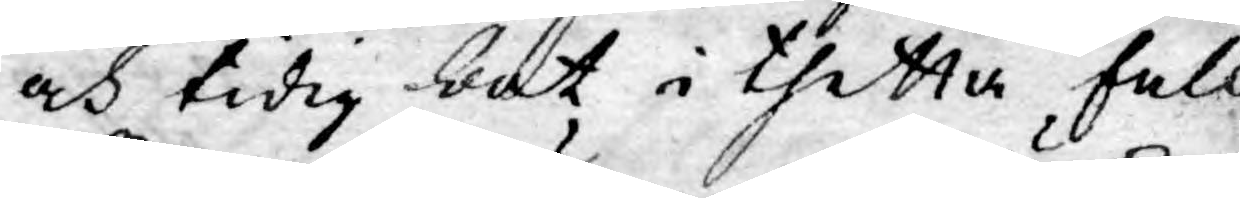och tidig bot i thetta fall
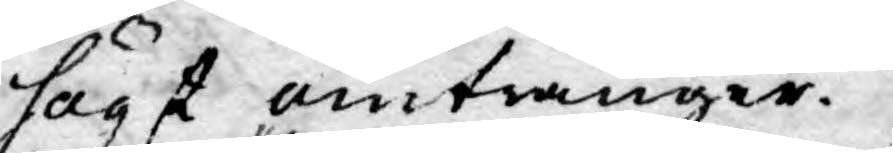högst omtränger.
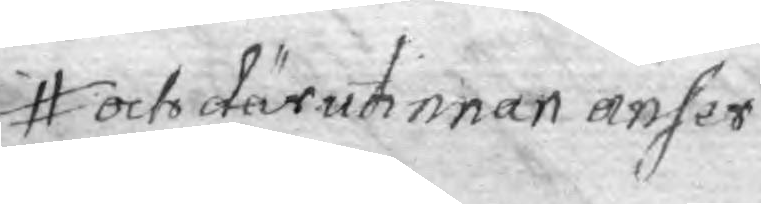och därutinnan anser
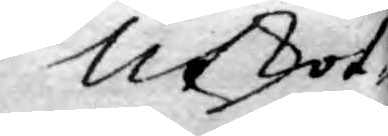Utskot¬
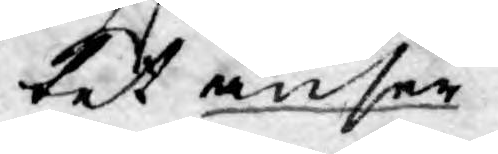tet anser
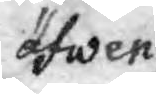äfwen
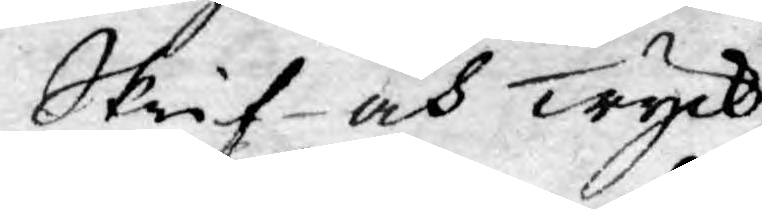Skrif- och Tryck¬
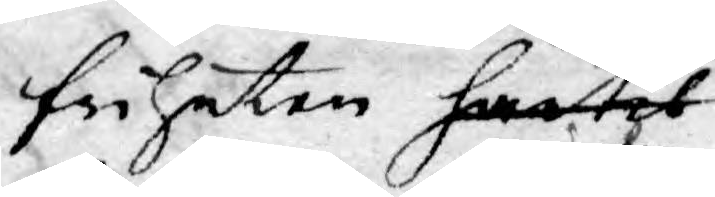friheten härtil
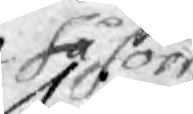såsom
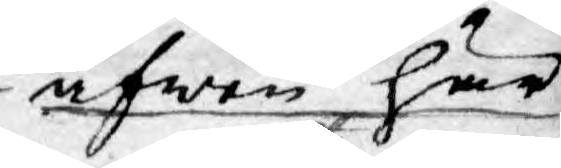äfwen här¬
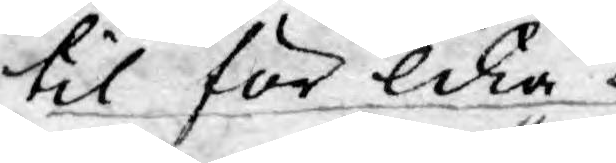til för lika
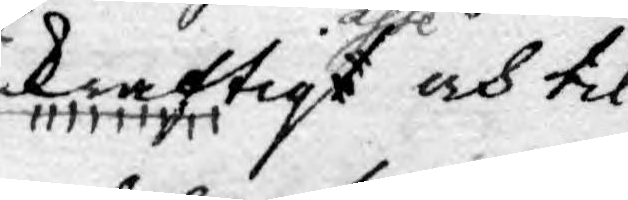kraftigtaste och til¬
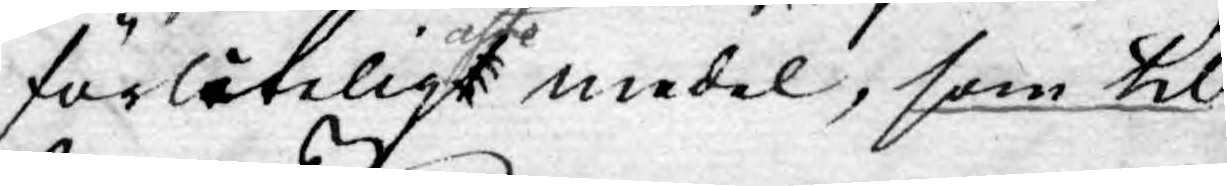förlåteligtaste medel, som til
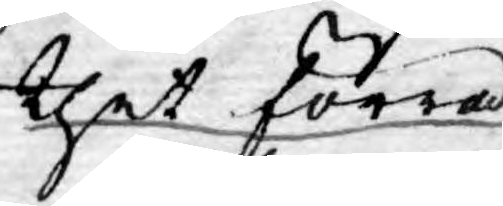thet förra.
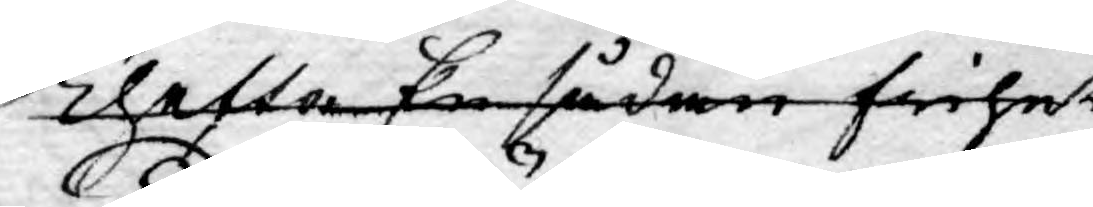Thetta En sådan frihet
